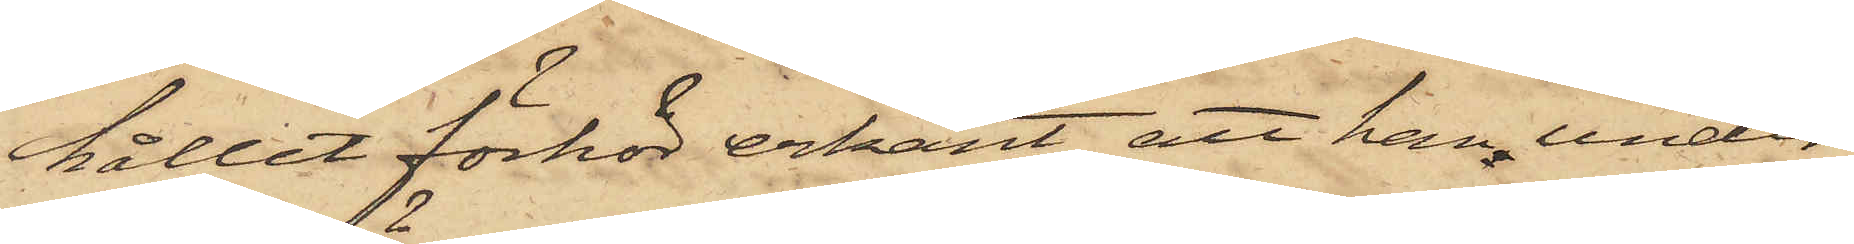hållit förhör erkänt, att han under
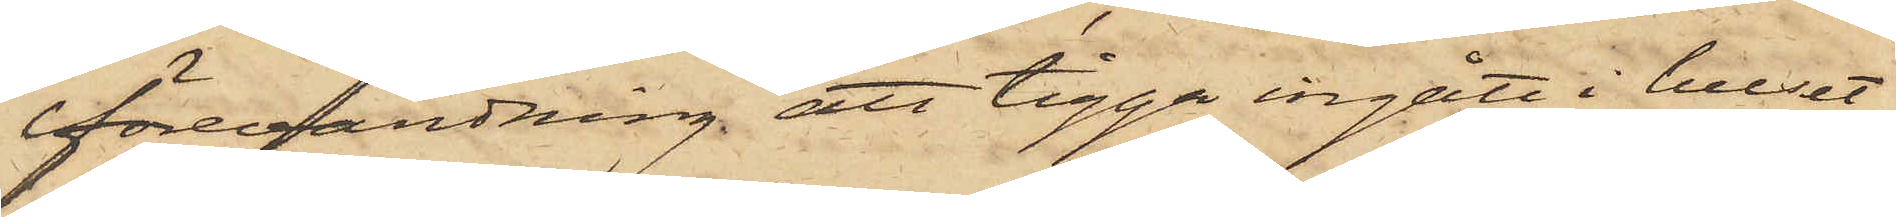förevändning att tigga ingått i huset,
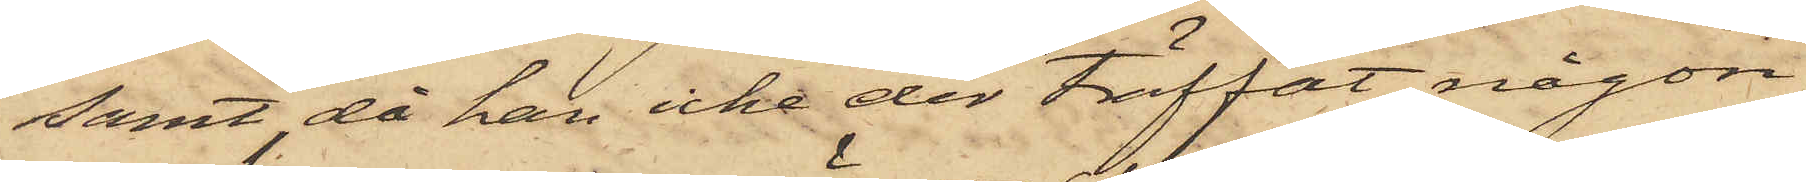samt, då han icke der träffat någon
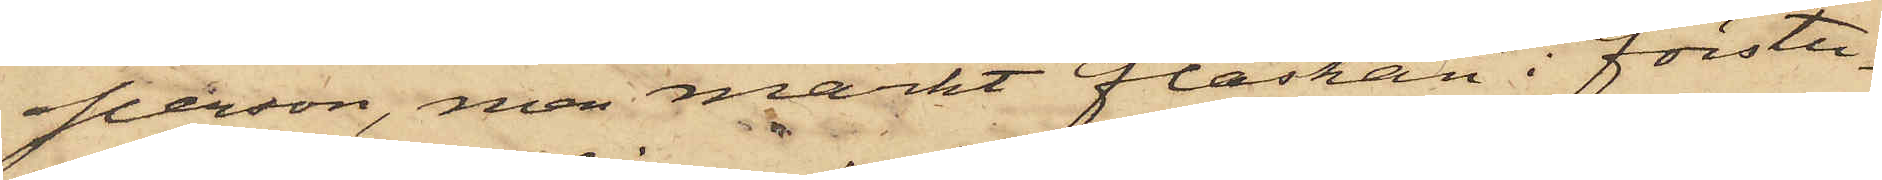person, men märkt flaskan i förstu¬
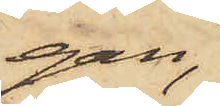gan,
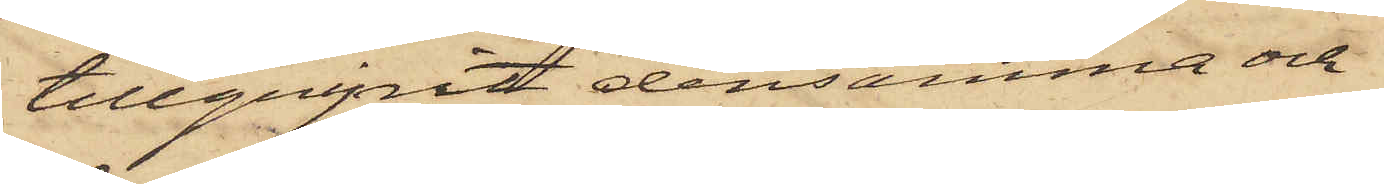tillgripit densamma och
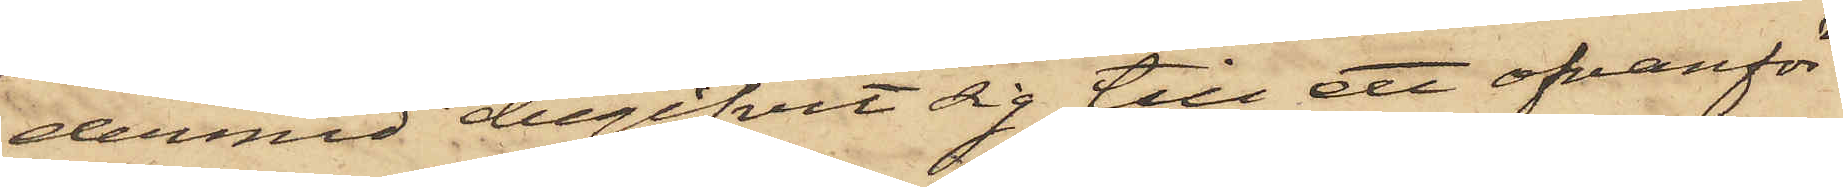dermed begifvit sig till ett ofvanför
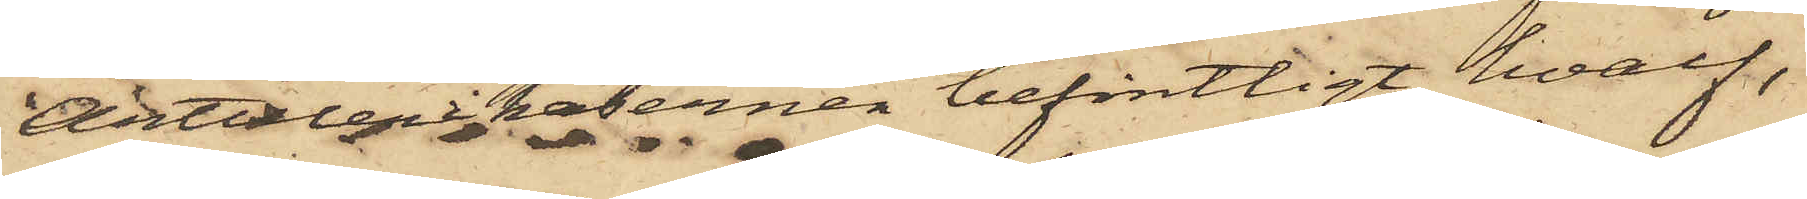Artillerikasernen befintligt hvalf,
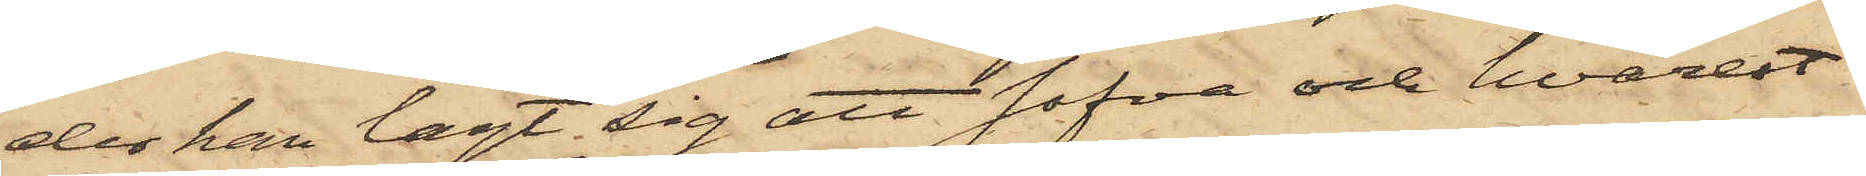der han lagt sig att sofva och hvarest
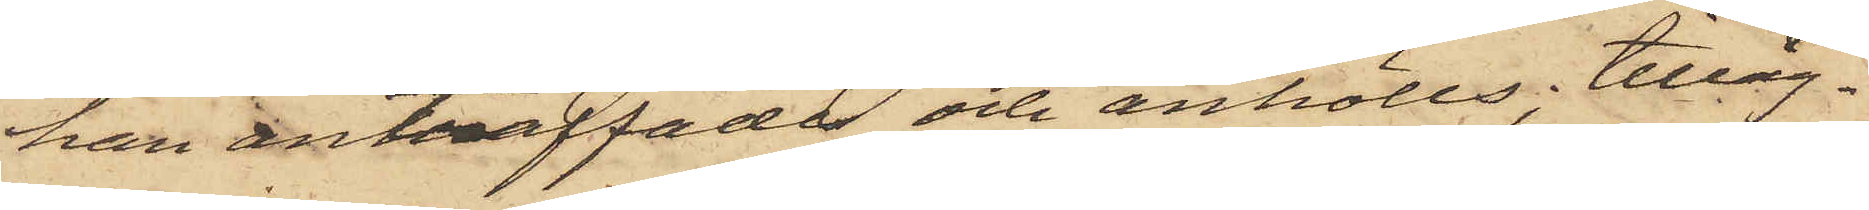han anträffades och anhölls; tilläg¬
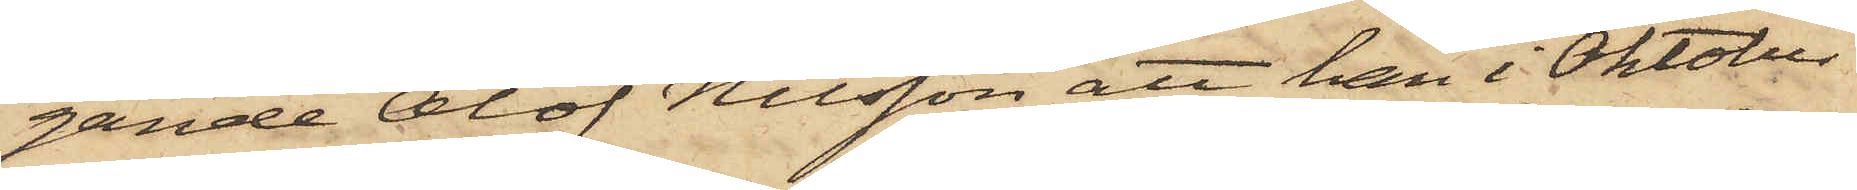gande Olof Nilsson att han i Oktober
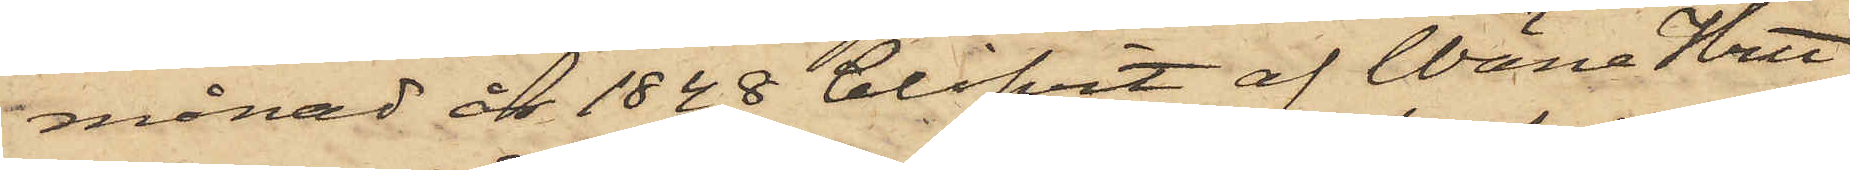månad år 1848 blifvit af Wäne Hrtt
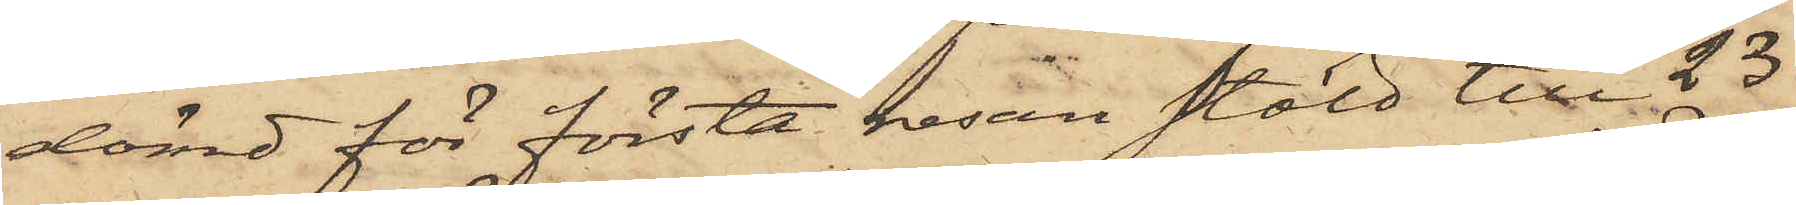dömd för första resan stöld till 23
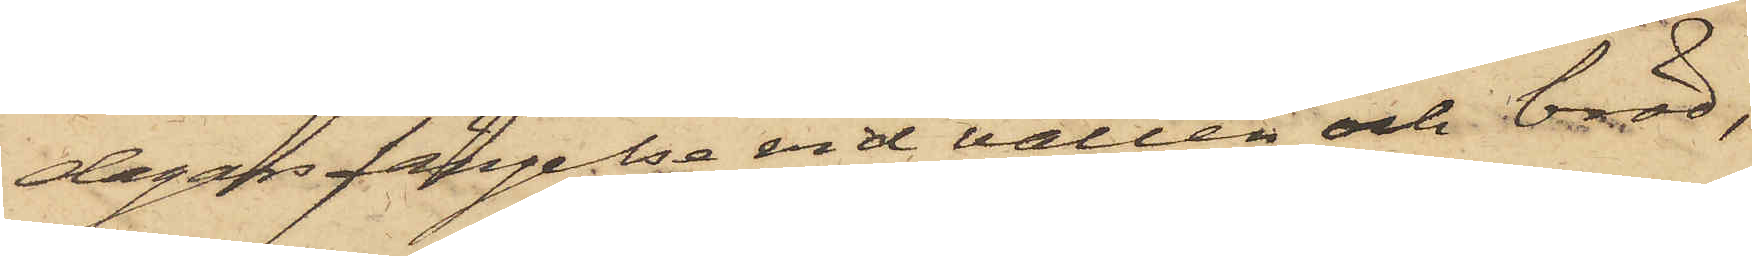dagars fängelse vid vatten och bröd,
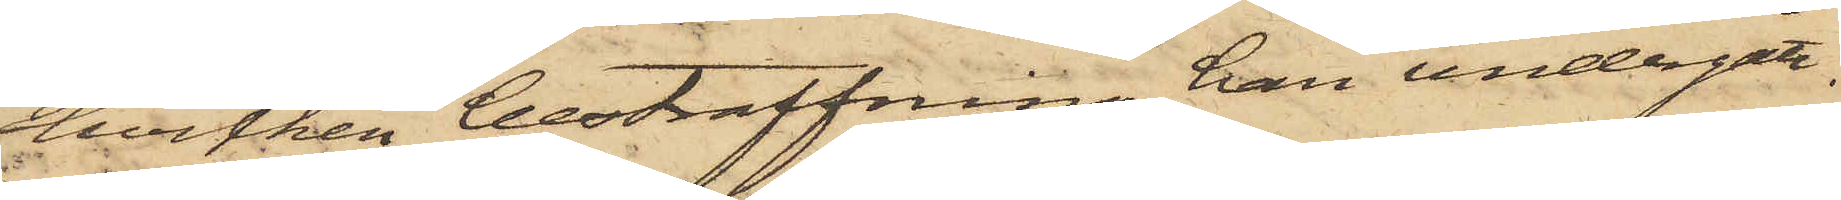hvilken bestraffning han undergått.
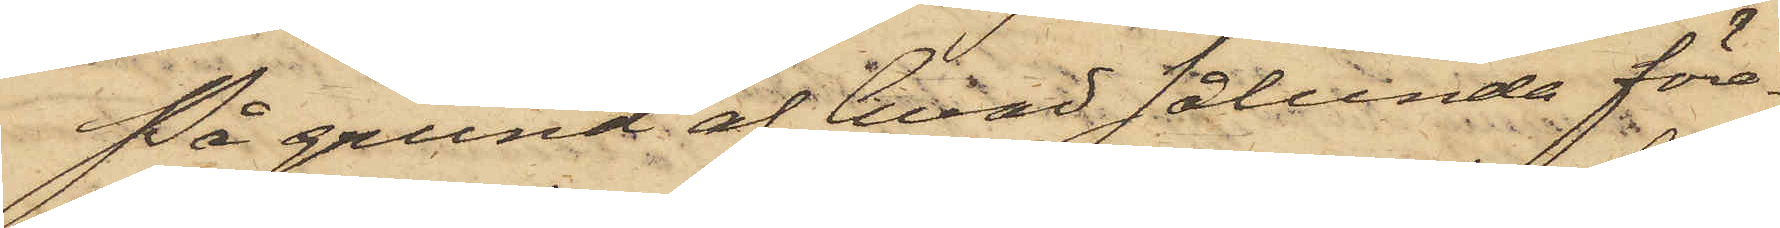På grund af hvad sålunda före¬
